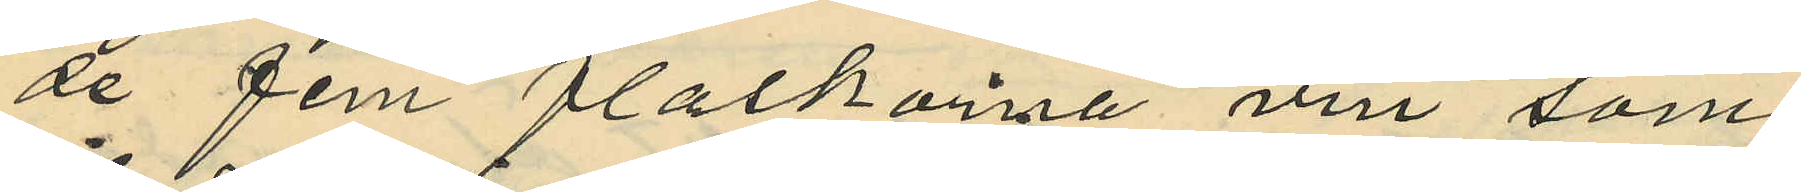de fem flaskorna vin som
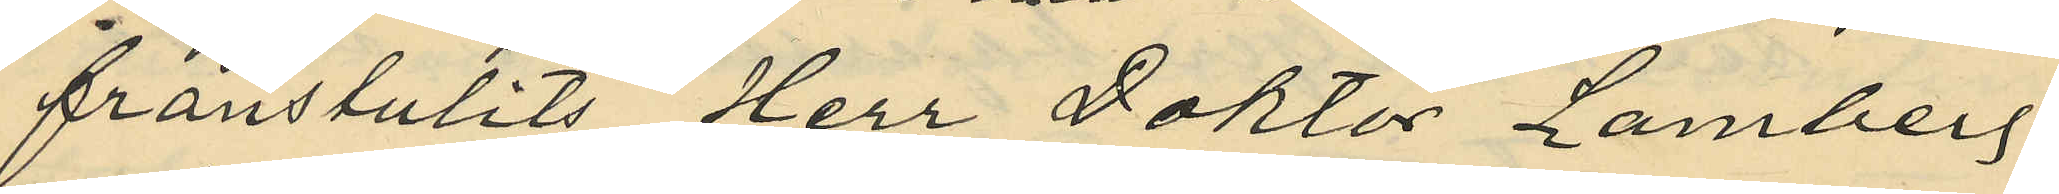frånstulits Herr Doktor Lamberg
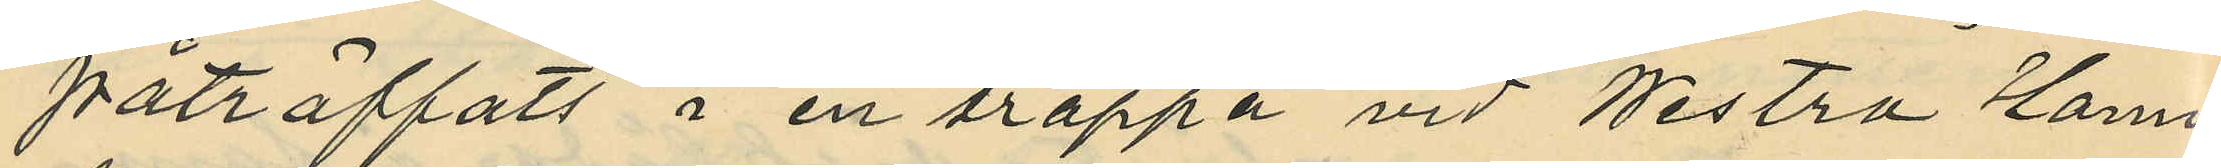påträffats i en trappa vid Westra Hamn¬
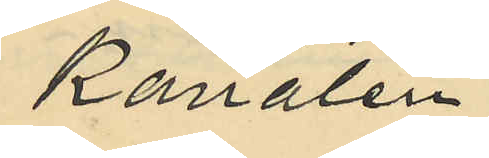Kanalen
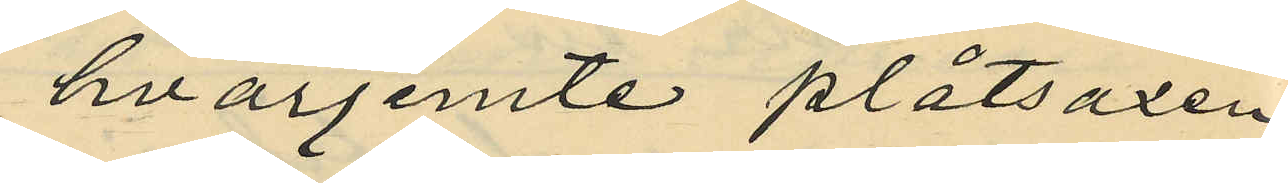hvarjemte plåtsaxen
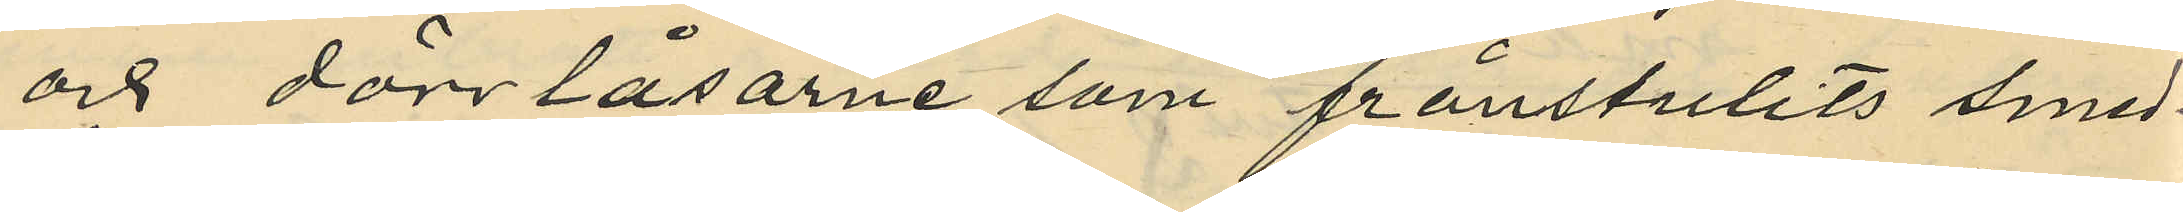och dörrlåsarne som frånstulits smed¬
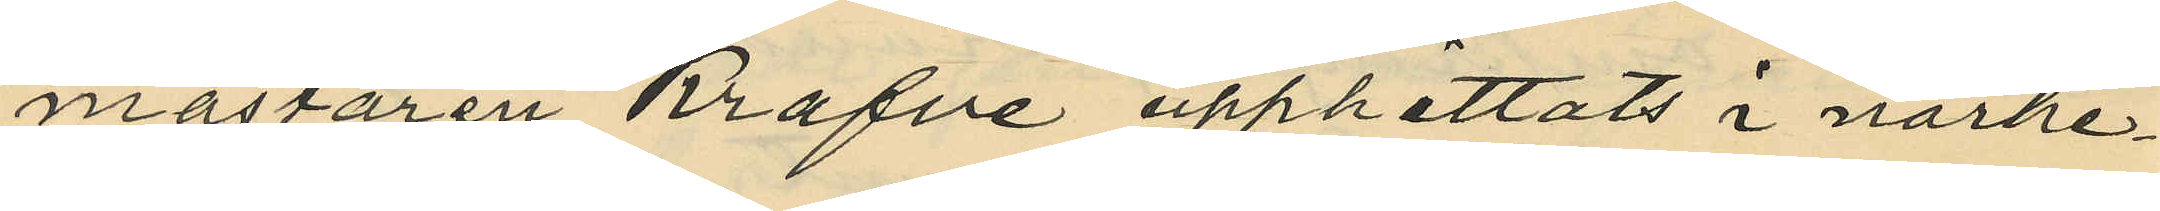mästaren Krafve upphittats i närhe¬
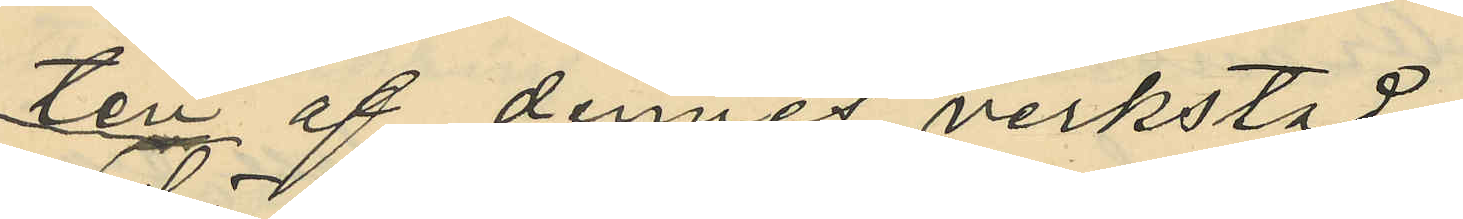ten af dennes verkstad.
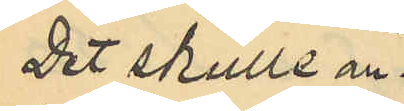Det skulle an¬
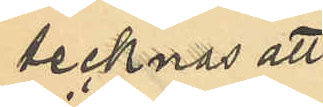tecknas att
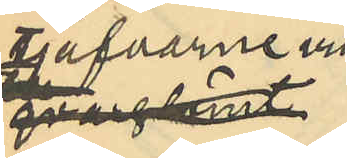tjufarne vid
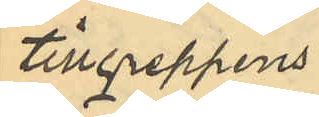tillgreppens
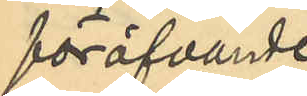föröfvande
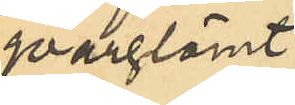qvarglömt
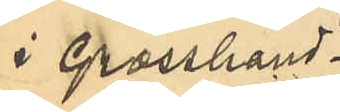i Grosshand¬
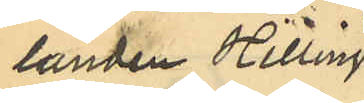landen Hillings
